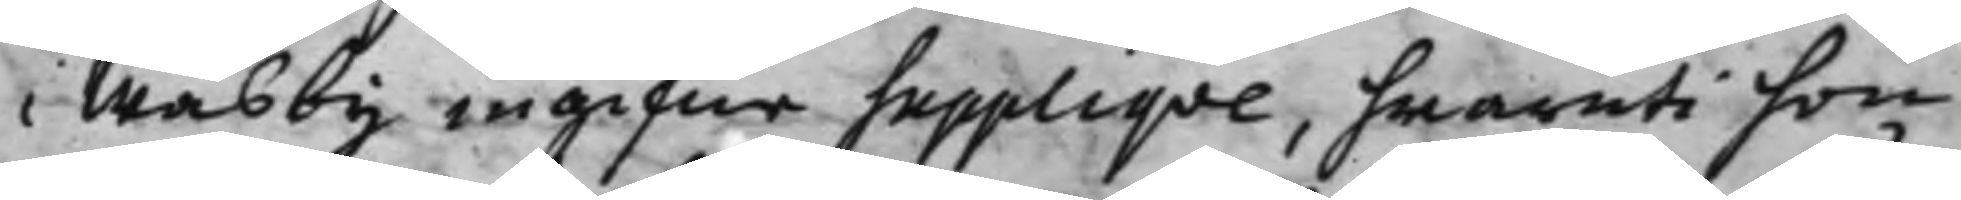i Wäsby ingifne Suppliqve, hwaruti hon
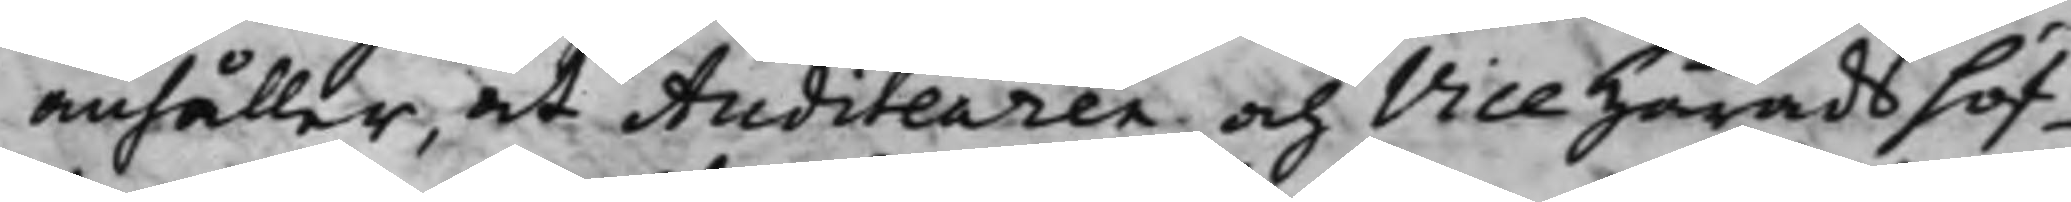anhåller, at Auditeuren och Vice Häradshöf¬
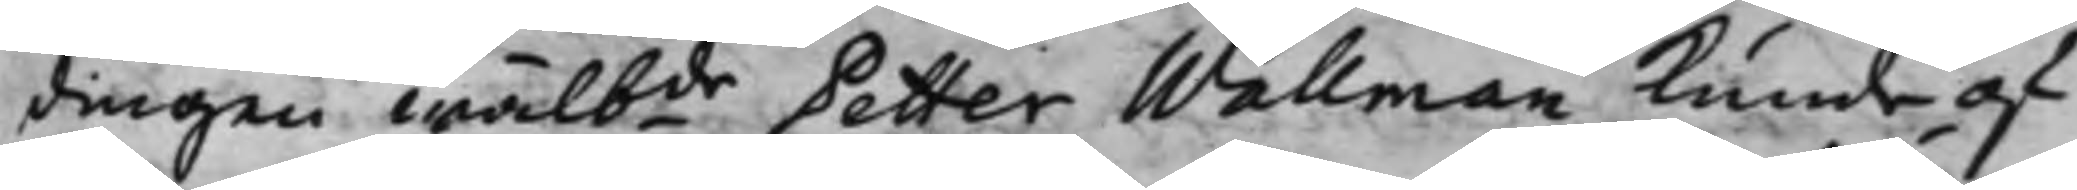dingen Wälbde Petter Wallman kunde af¬
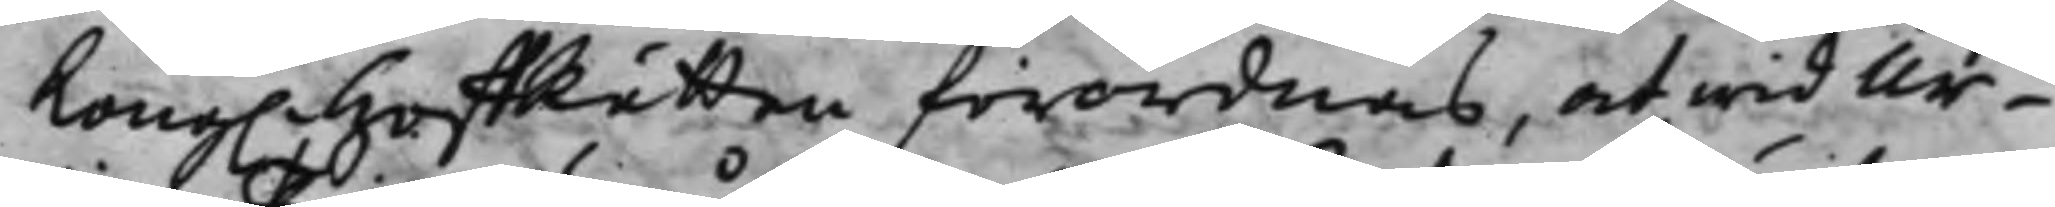Kong. HoffRätten förordnas, at wid Ur¬
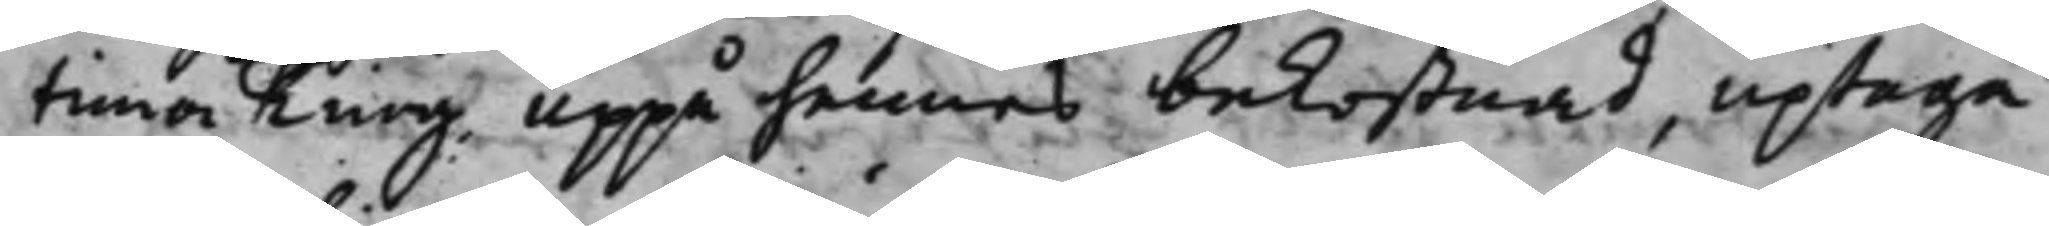tima Ting uppå hennes bekostnad, uptaga
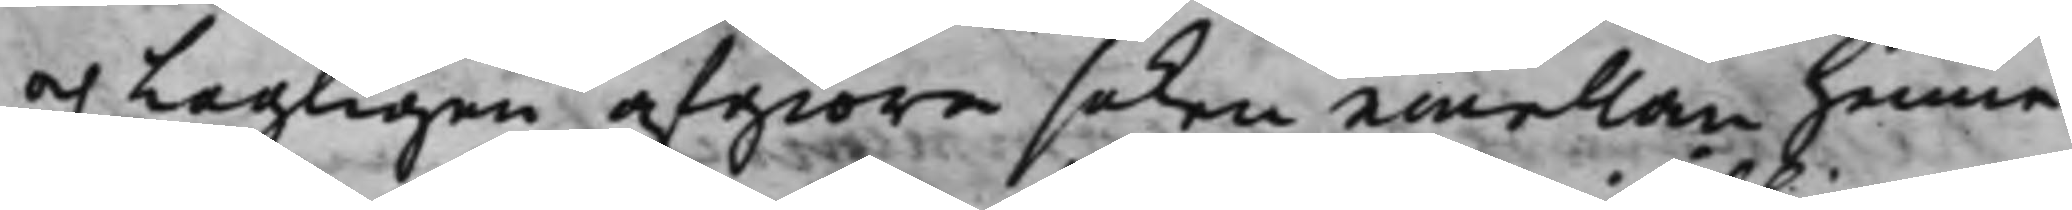och Lagligen afgiöra saken emellan henne
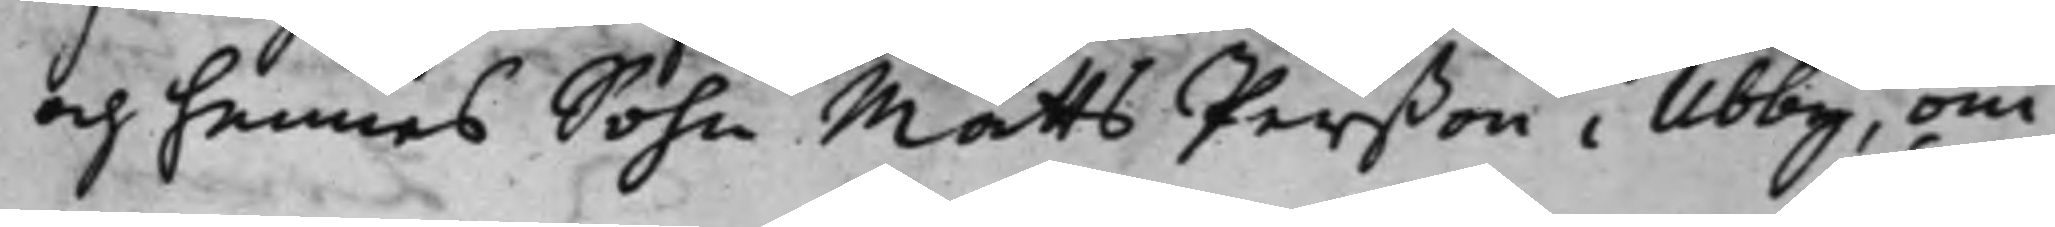och hennes Sohn Matts Perßon i Ubby, om
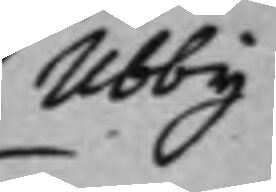Ubby
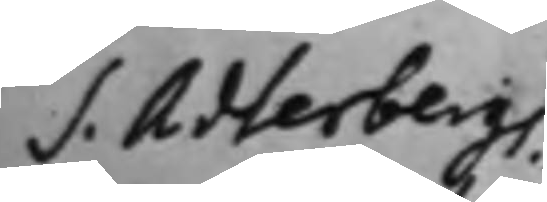S. Adlerbergs
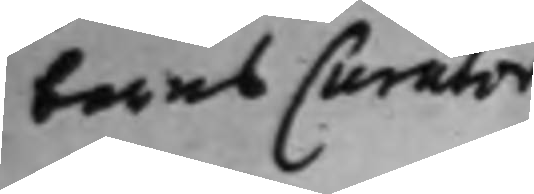barns Curator
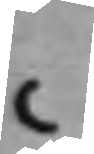C
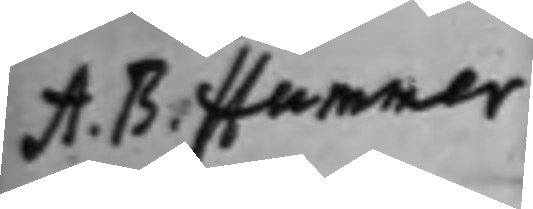A. B. Hummer¬
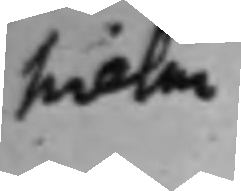hielm
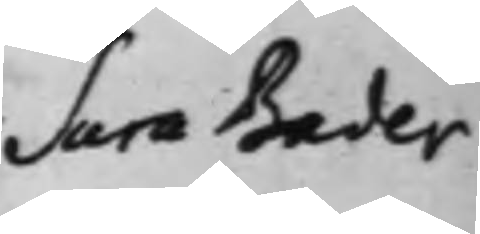Sara Bader
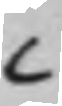C
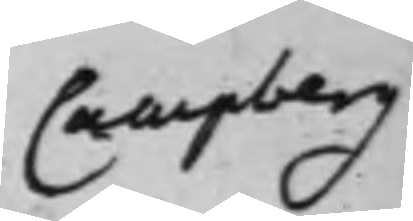Campberg
